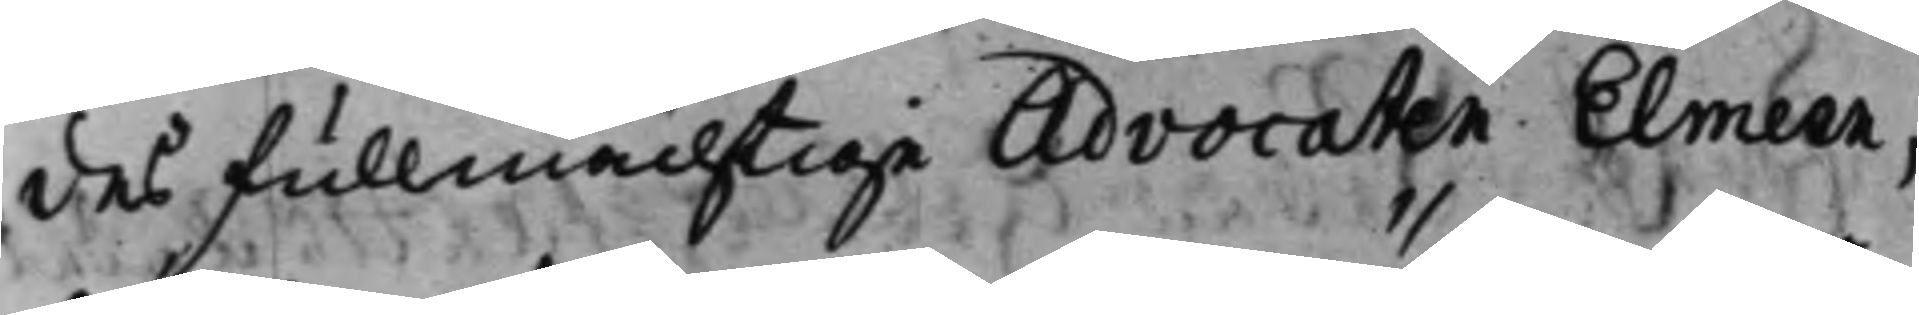des fullmächtige Advocaten Elmeen,
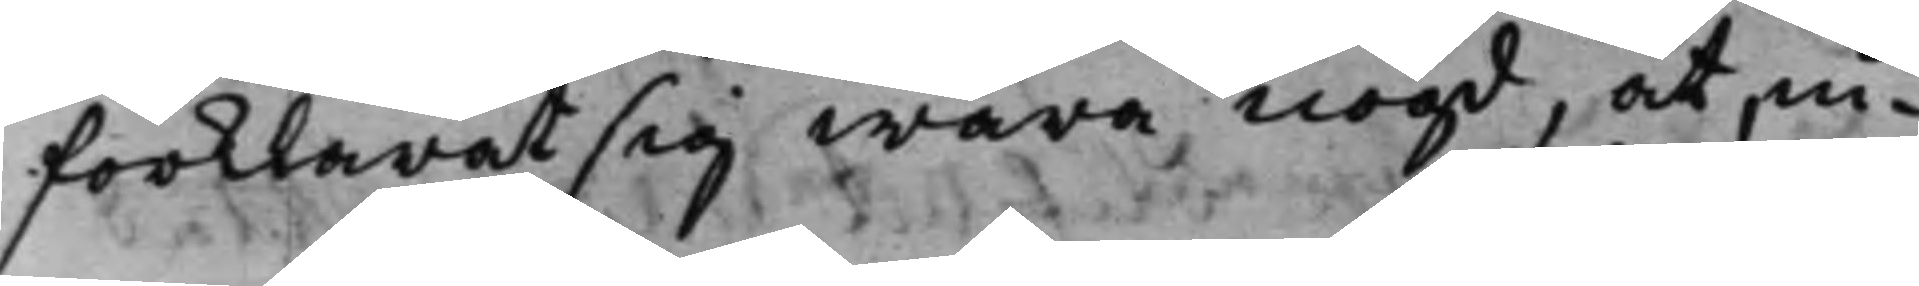förklarat sig wara nögd, at, in¬
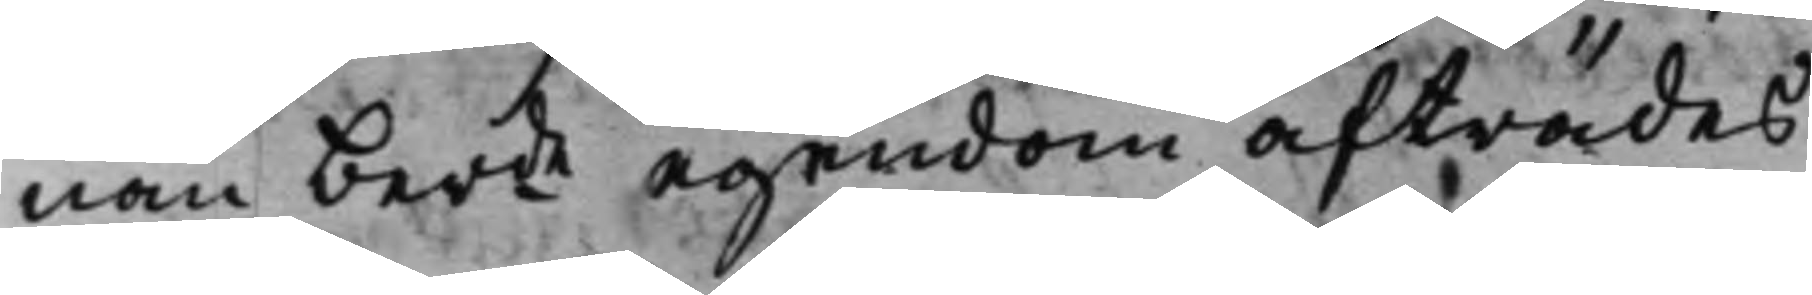nan berde egendom afträdes,
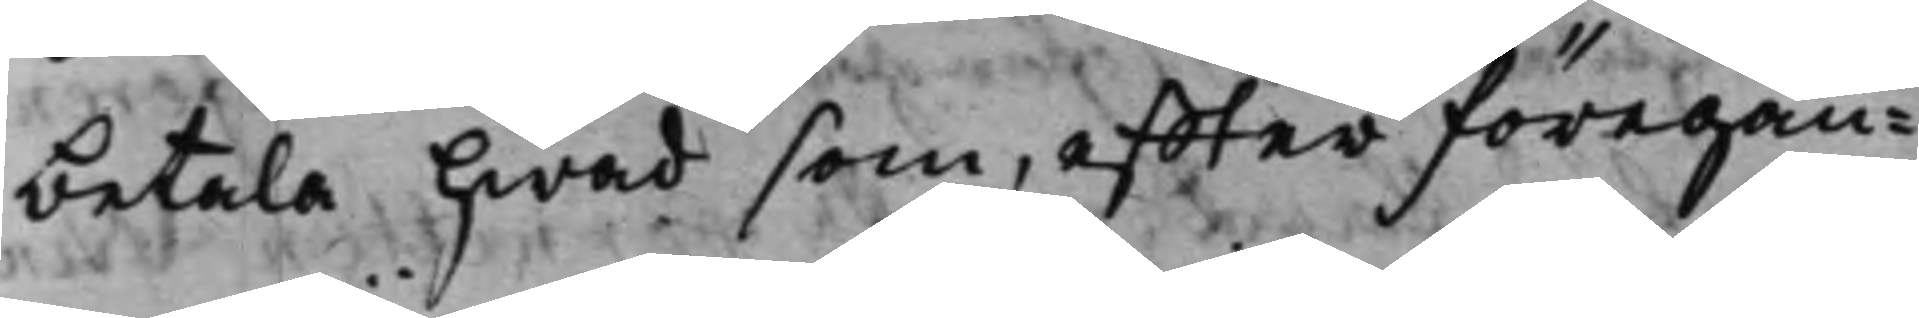betala hwad som, effter föregån¬
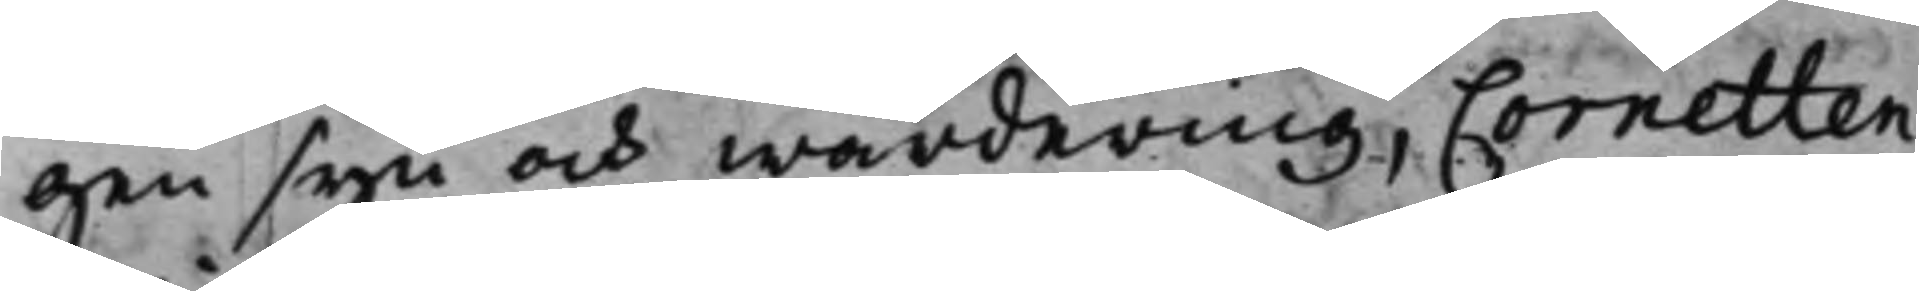gen syn och wärdering, Cornetten
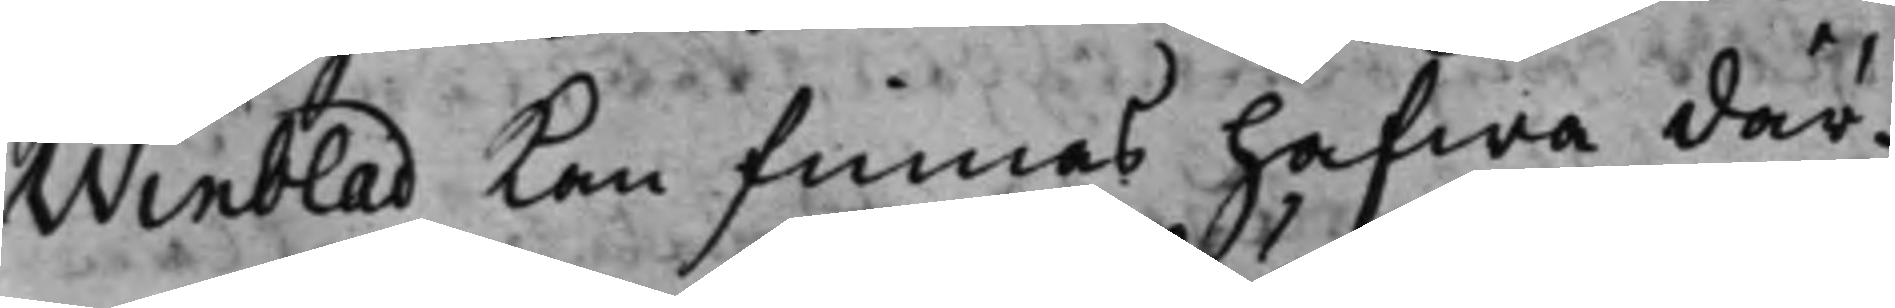Winblad Kan finnas hafwa där¬
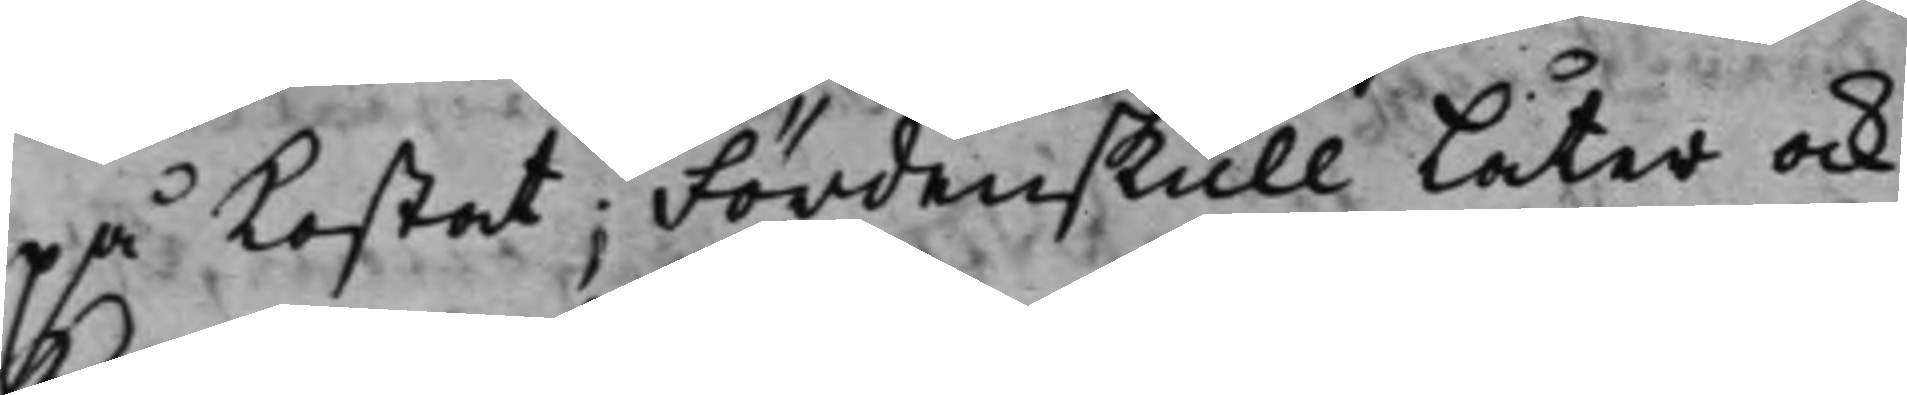på Kostat; Fördenskull Låter ock
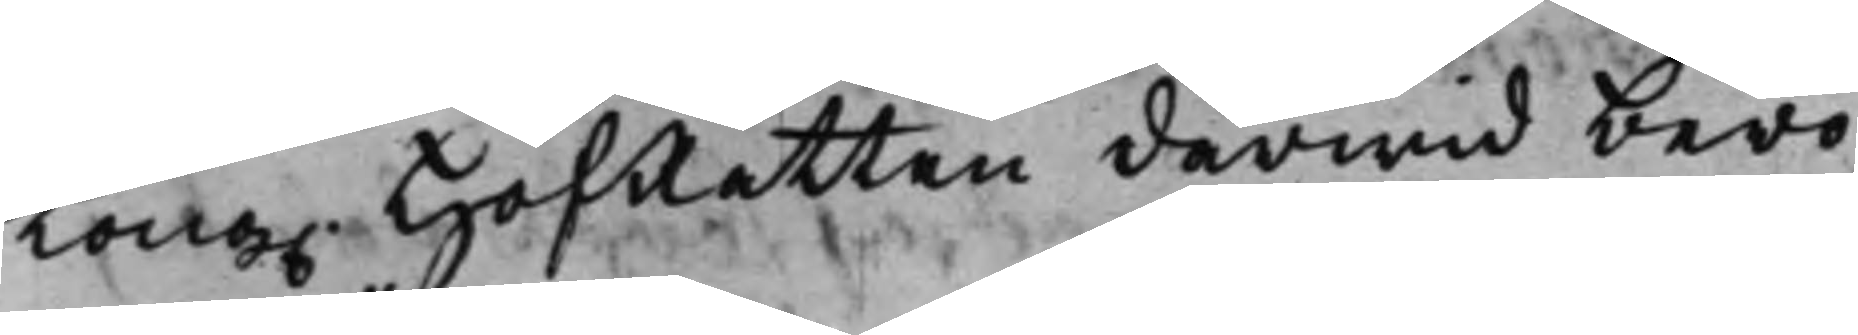Kong. HofRätten därwid bero
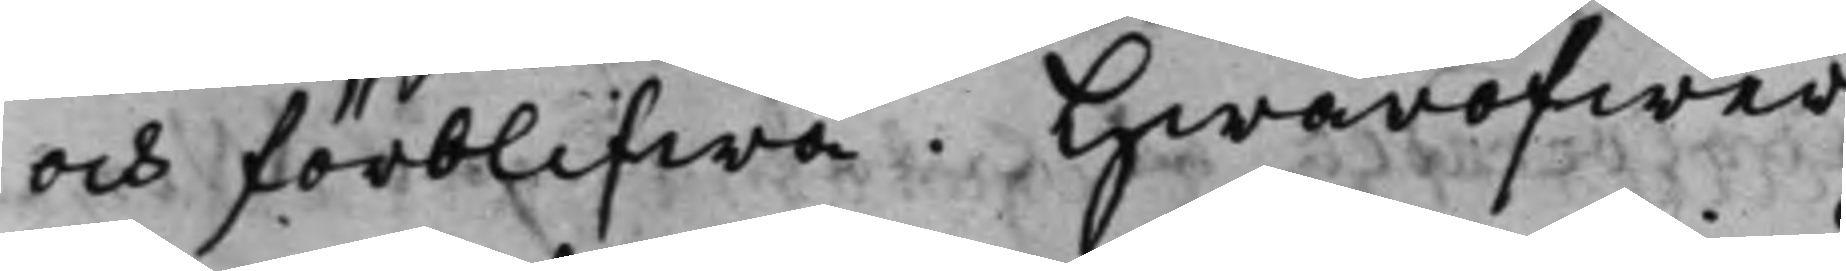och förblifwa. Hwaröfwer
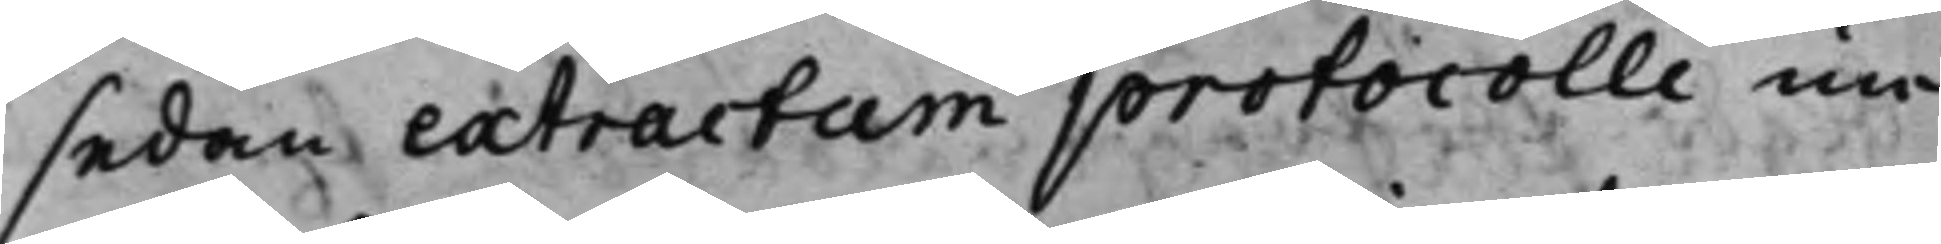sedan extractum protocolli un¬
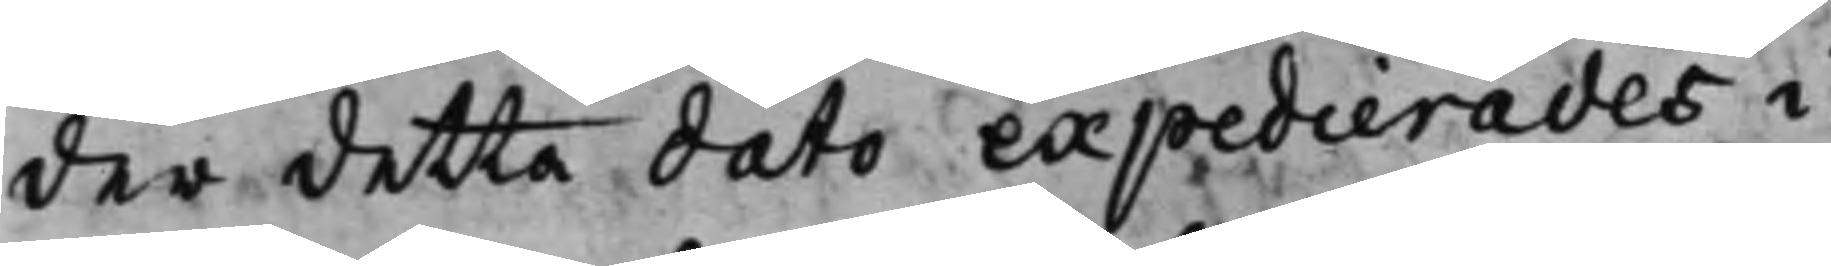der detta dato expedierades i
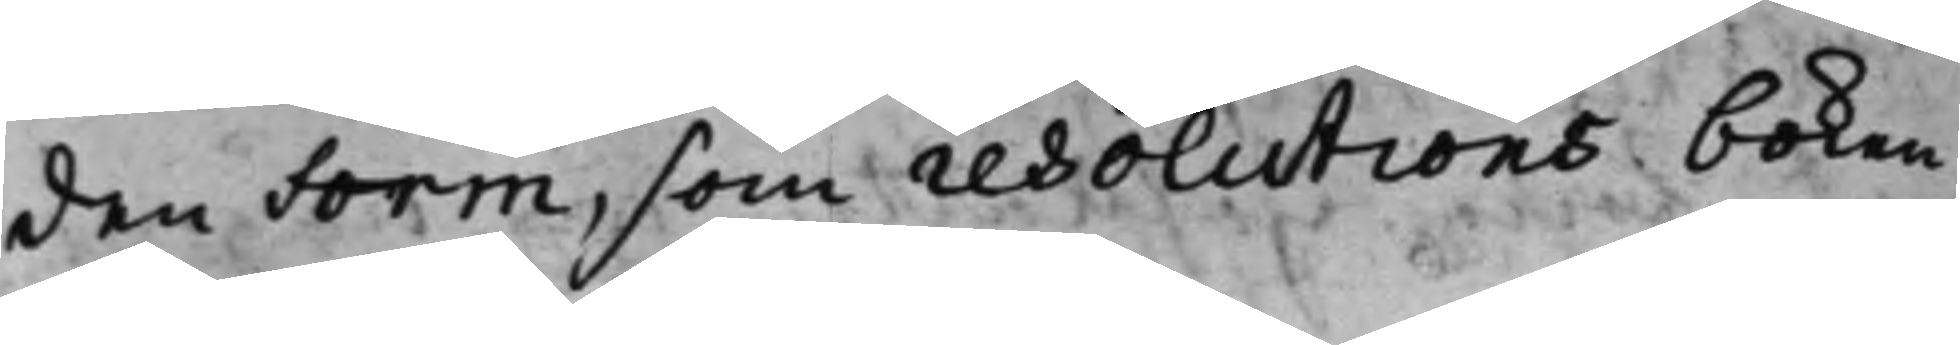den Form, som resolutions boken
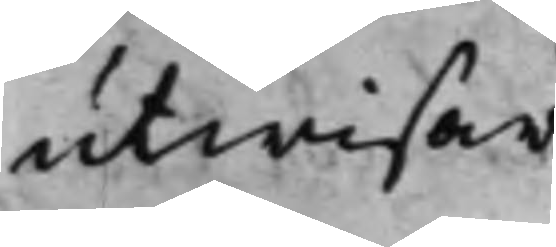utwisar.
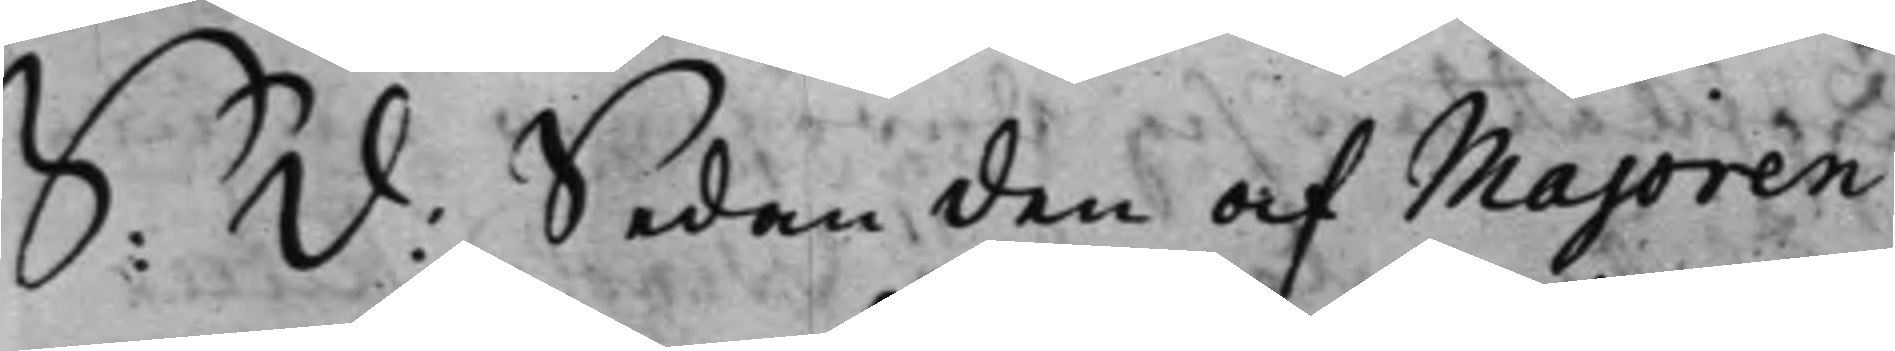S: d: Sedan den af Majoren
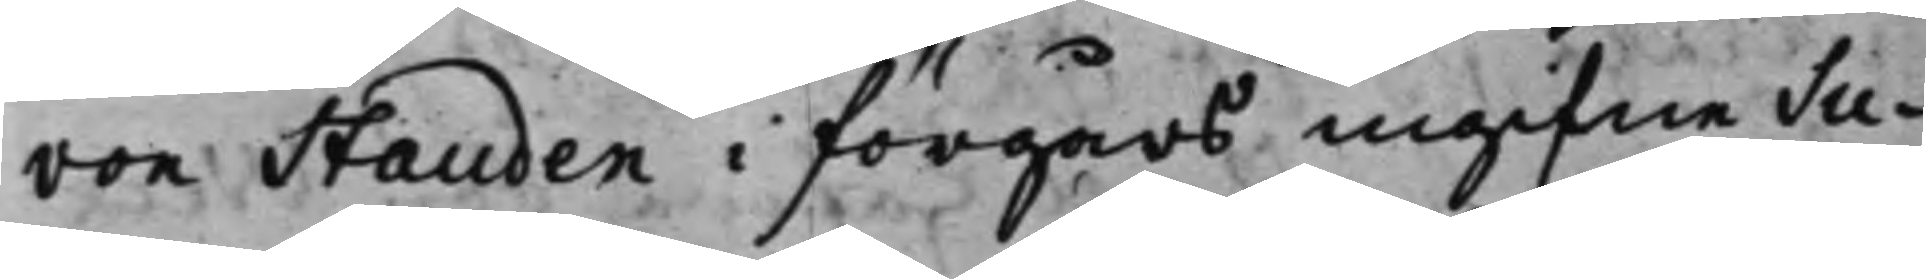von Stauden i förgårs ingifne Su¬
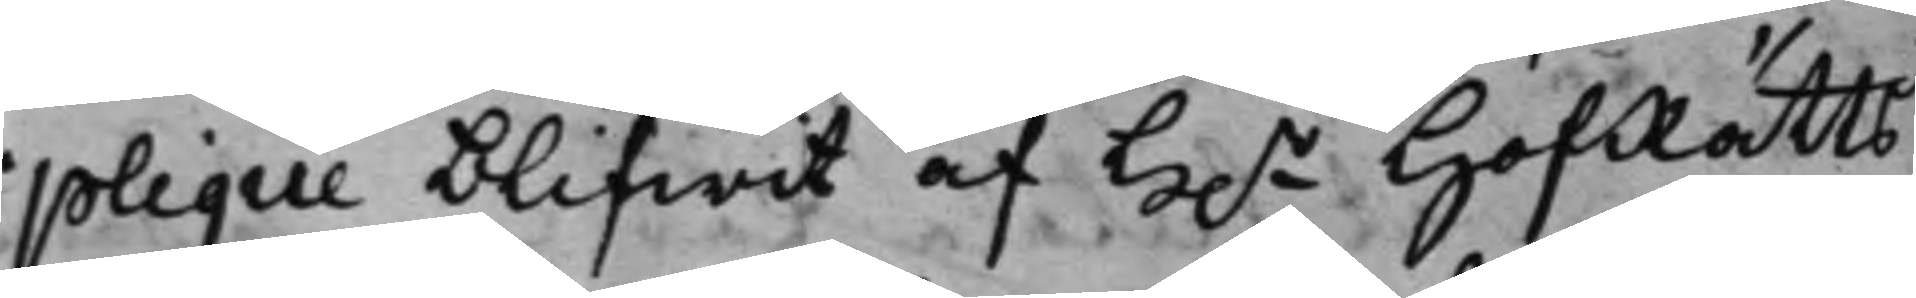plique blifwit af H.r HofRätts
